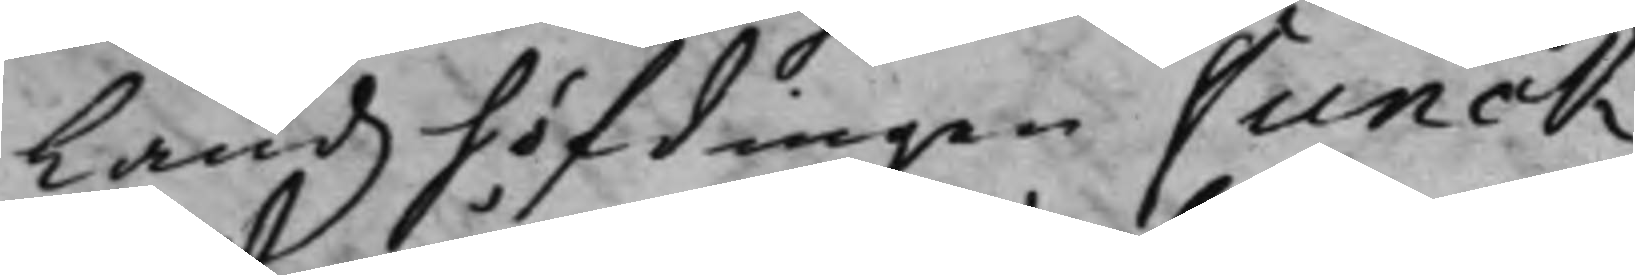Landzhöfdingen Funck.
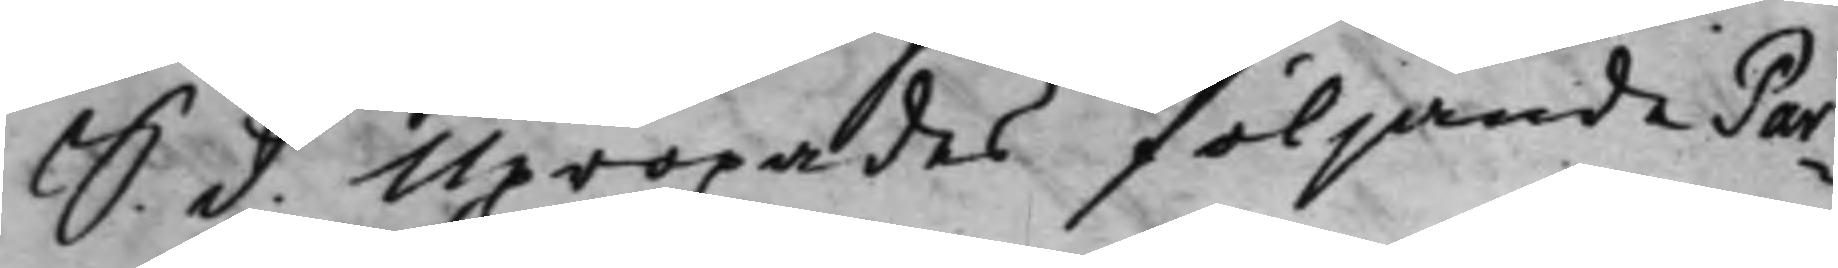S. d. Upropades följande Par¬
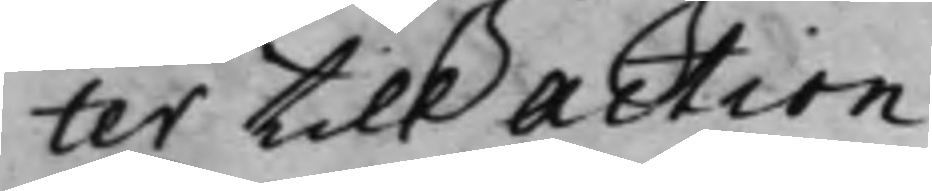ter till Action
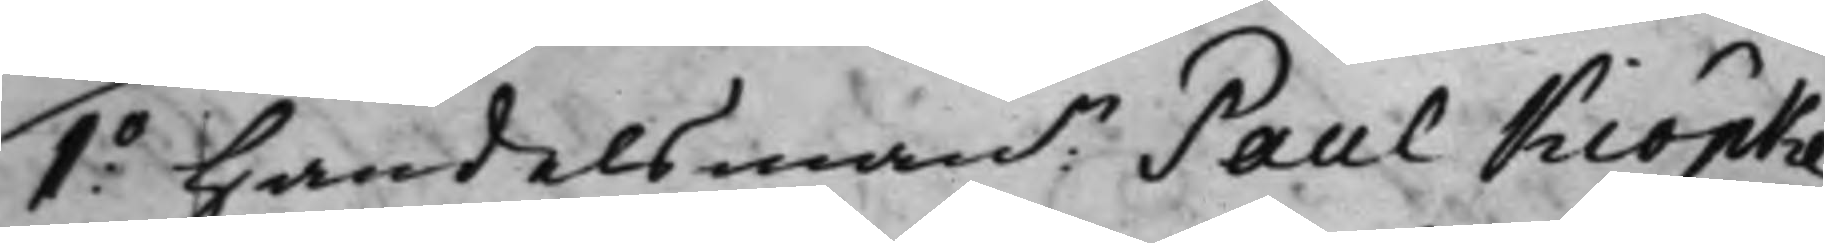1.o Handelsmann Paul Kiöpke
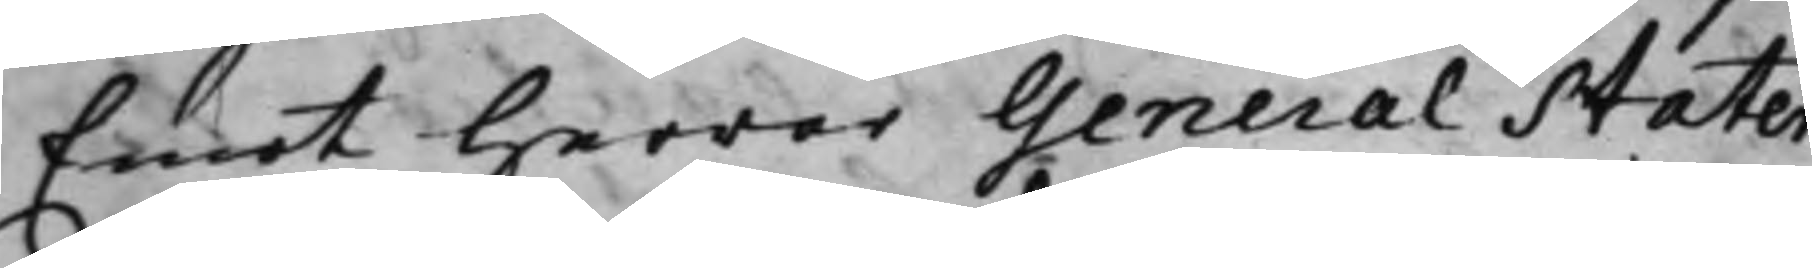Emot Herrar General Stater¬
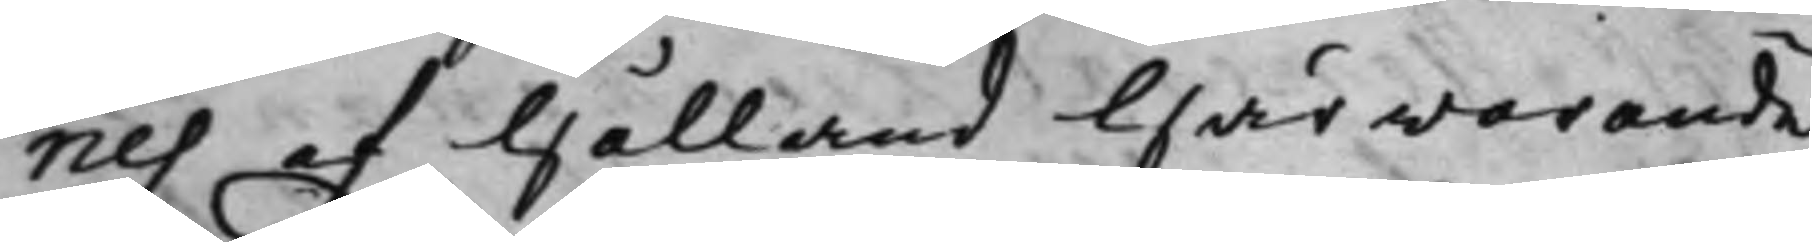nes af Hålland härwarande
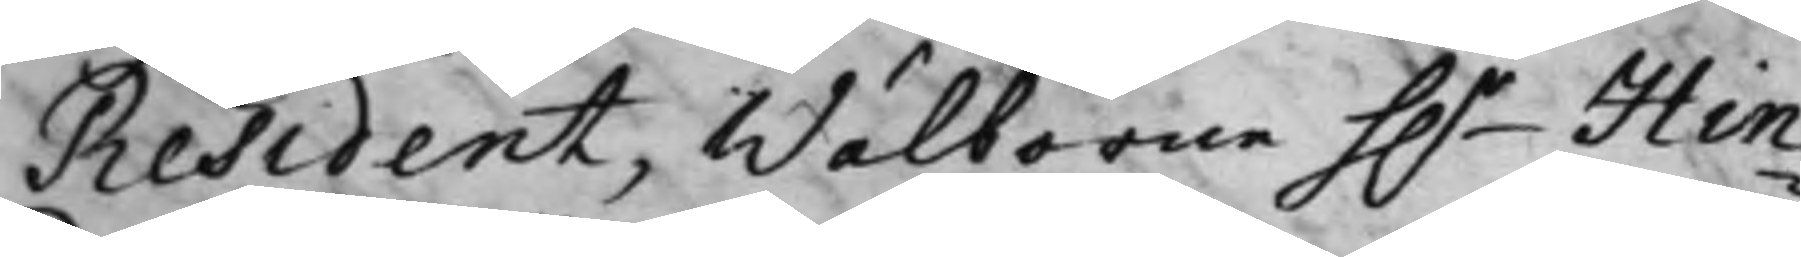Resident, Wälborne h.r Hin¬
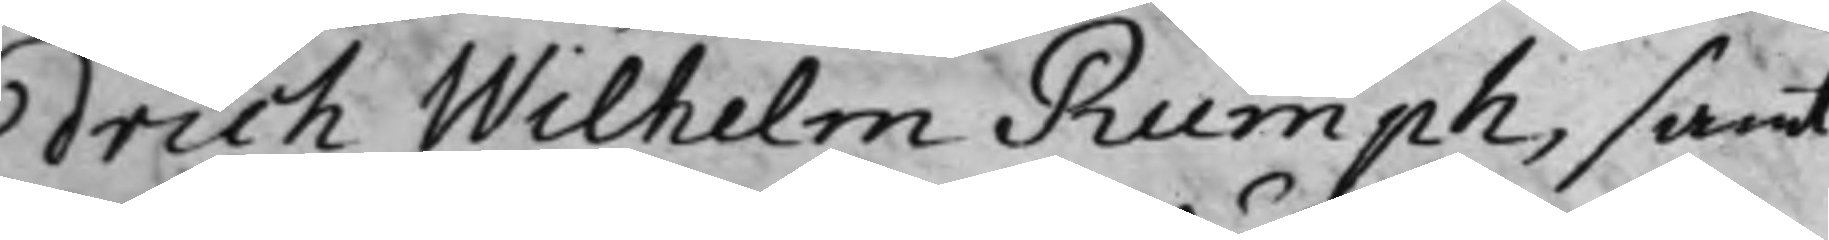drich Wilhelm Rumph, samt
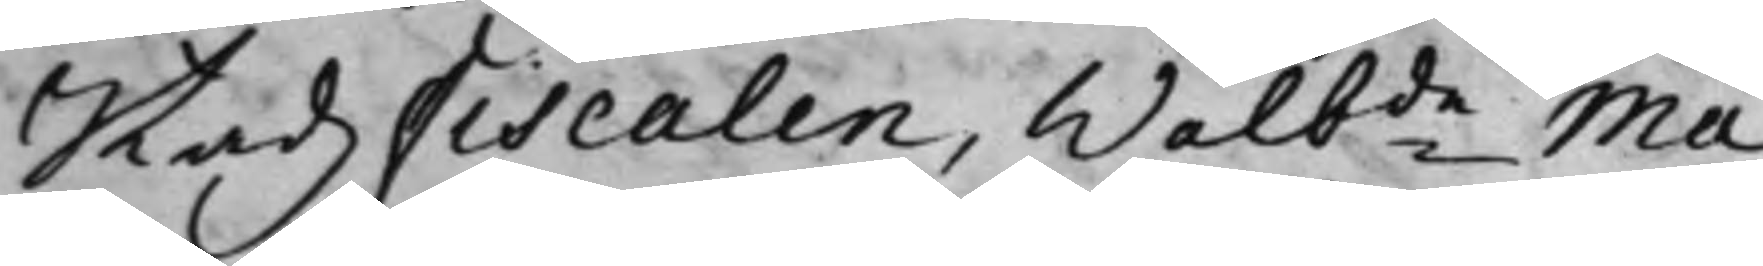StadzFiscalen, Wälbde Ma¬
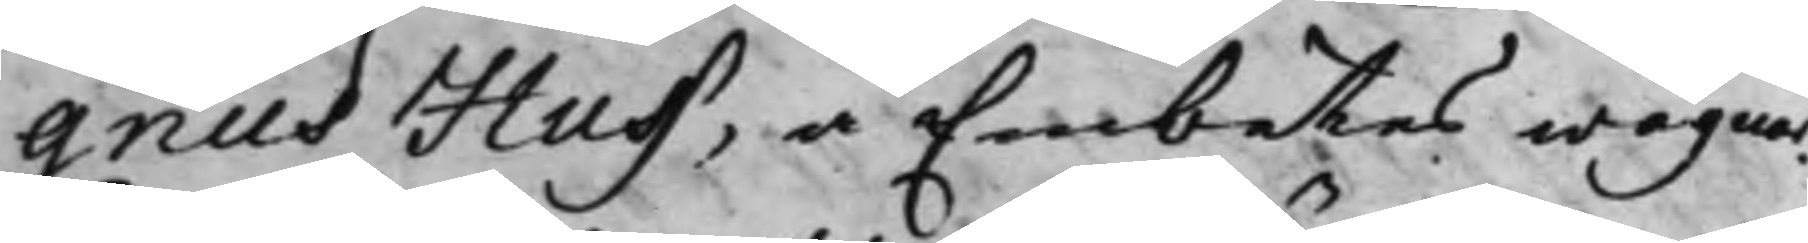gnus Huss, å Embetes wägnar,
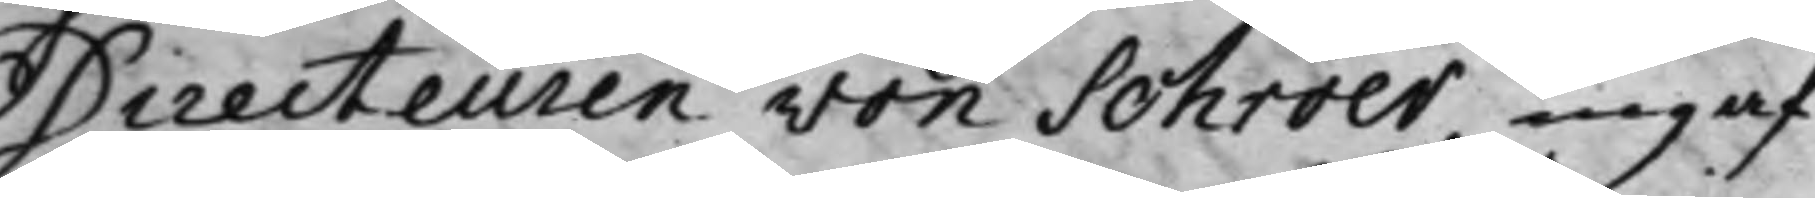Directeuren von Schröer ingaf
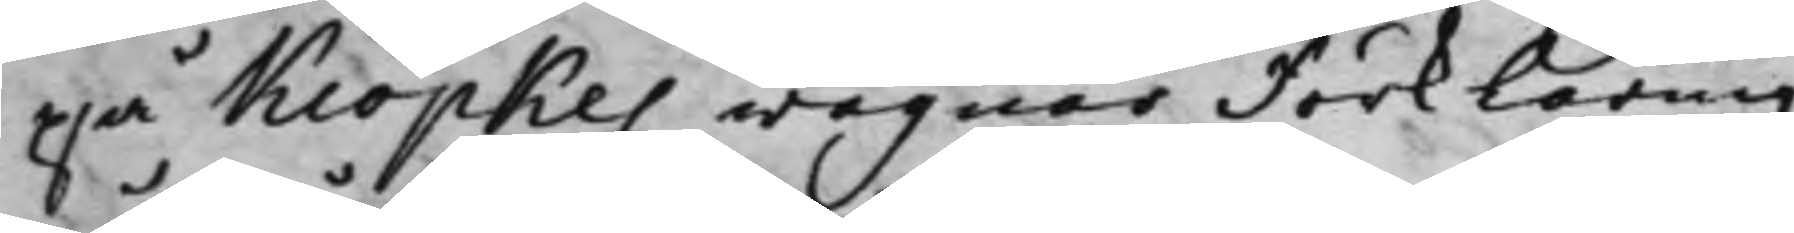på Kiöpkes wägnar Förklaring
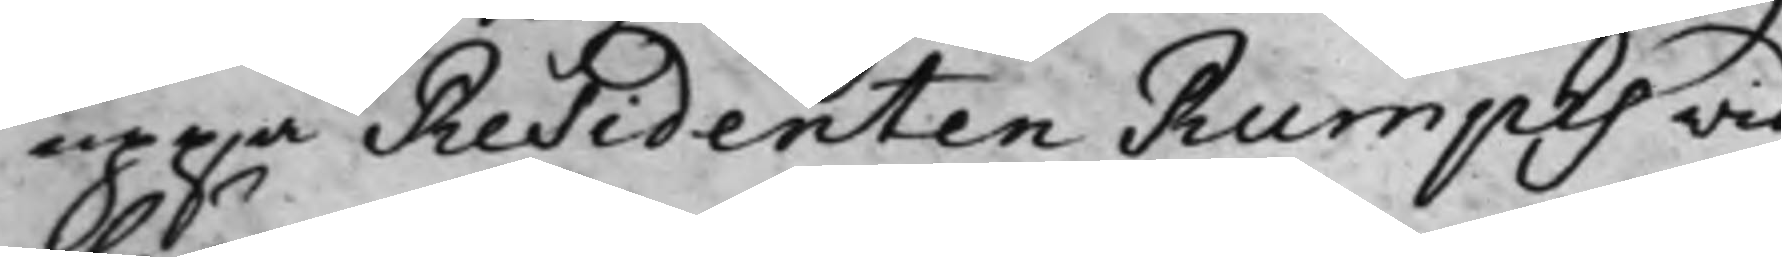uppå Residenten Rumphs vid
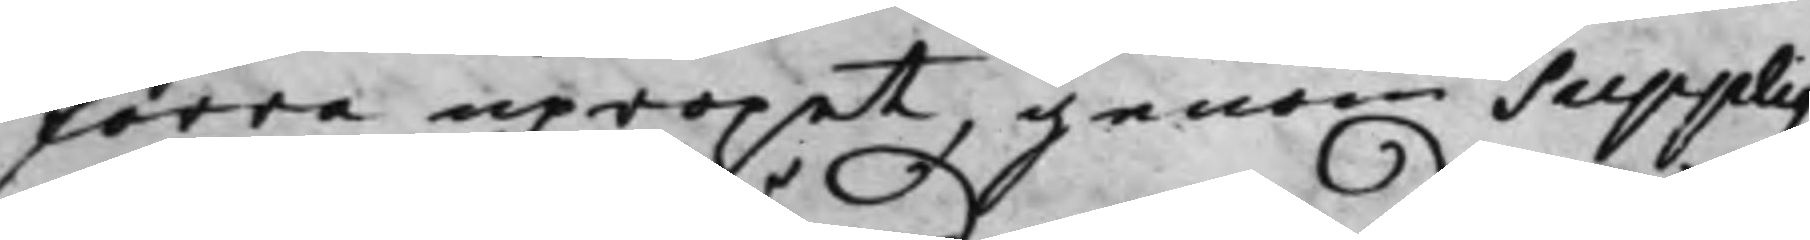förra upropet, genom Suppliqz,
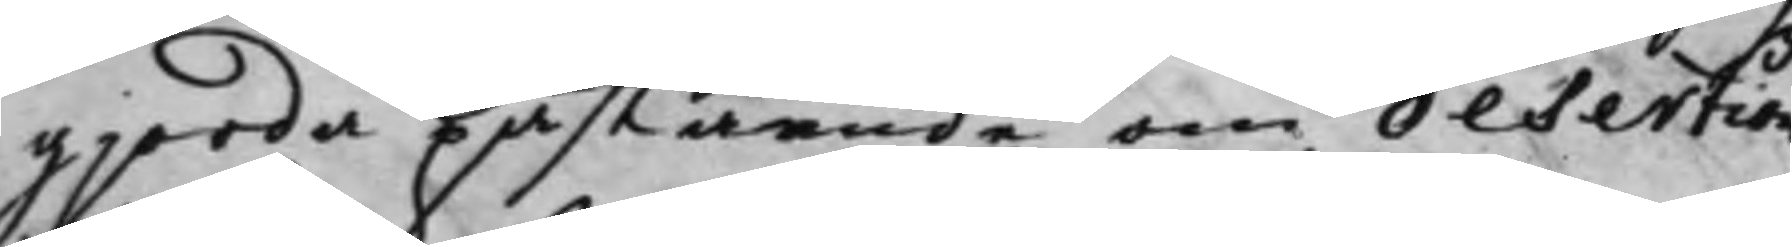gjorda påstående om desertion
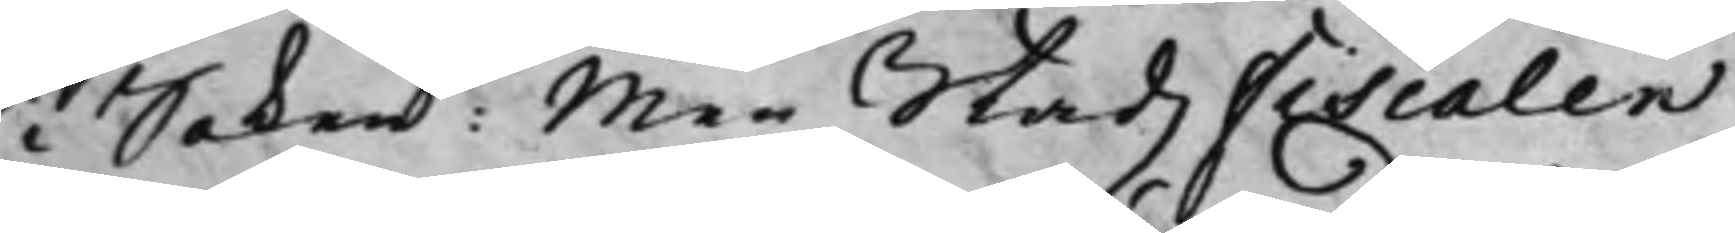i Saken: Men StadzFiscalen
